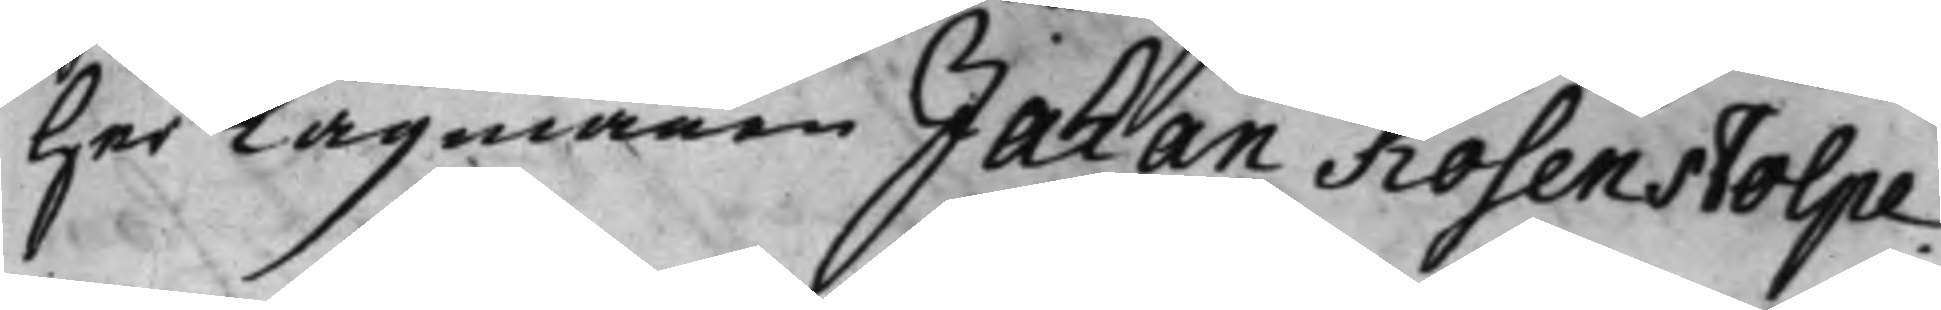Her Lagmannen Johan Rosenstolpe.
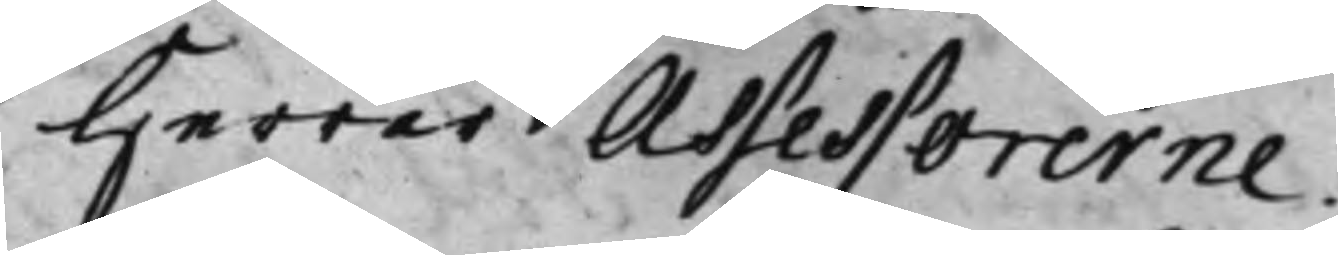Herrar Assessorerne.
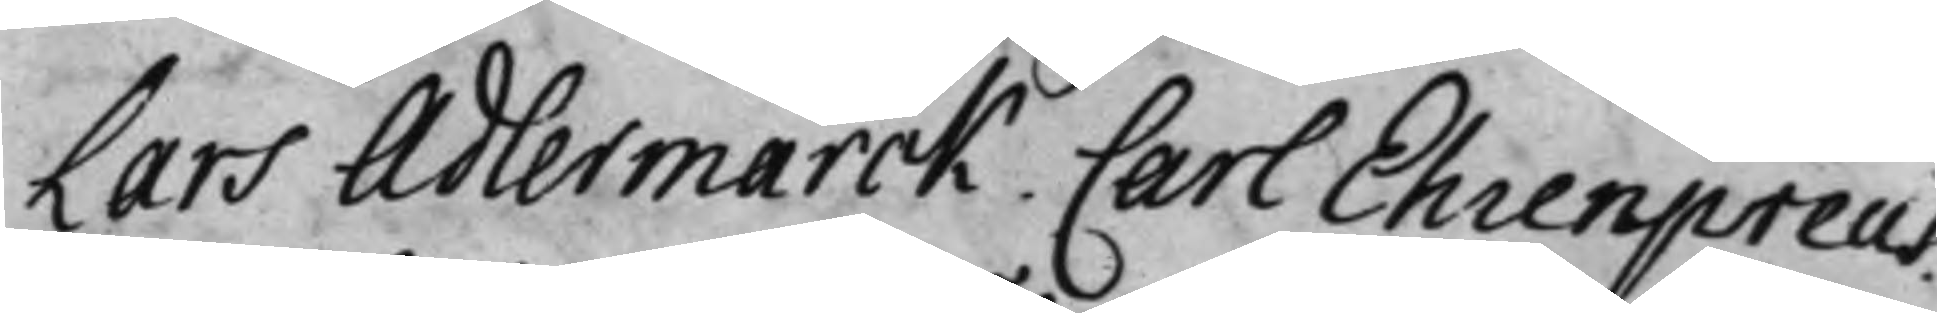Lars Adlermarck. Carl Ehrenpreus.
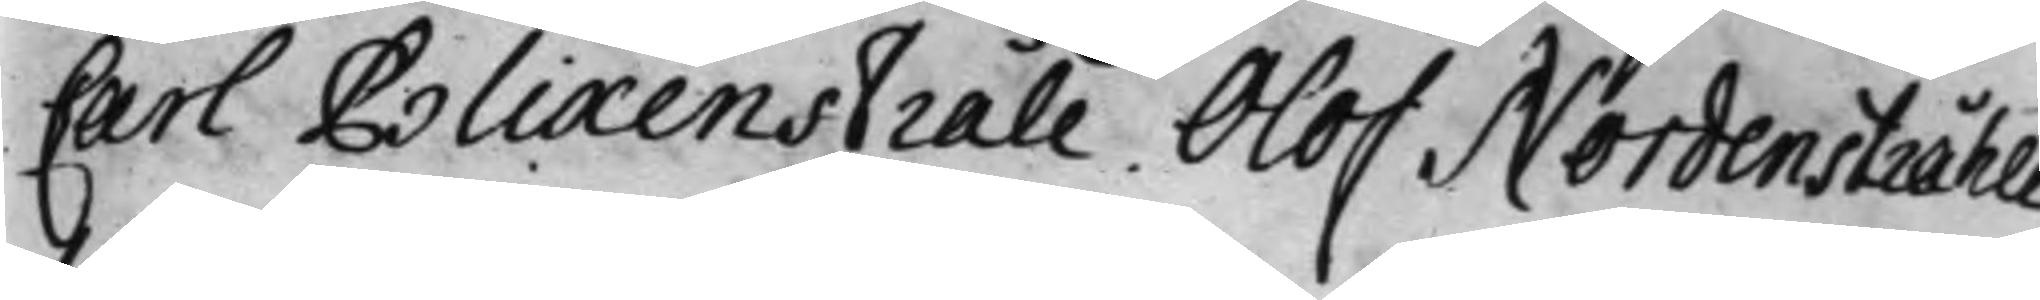Carl Blixenstråle. Olof Nordenstråhle.
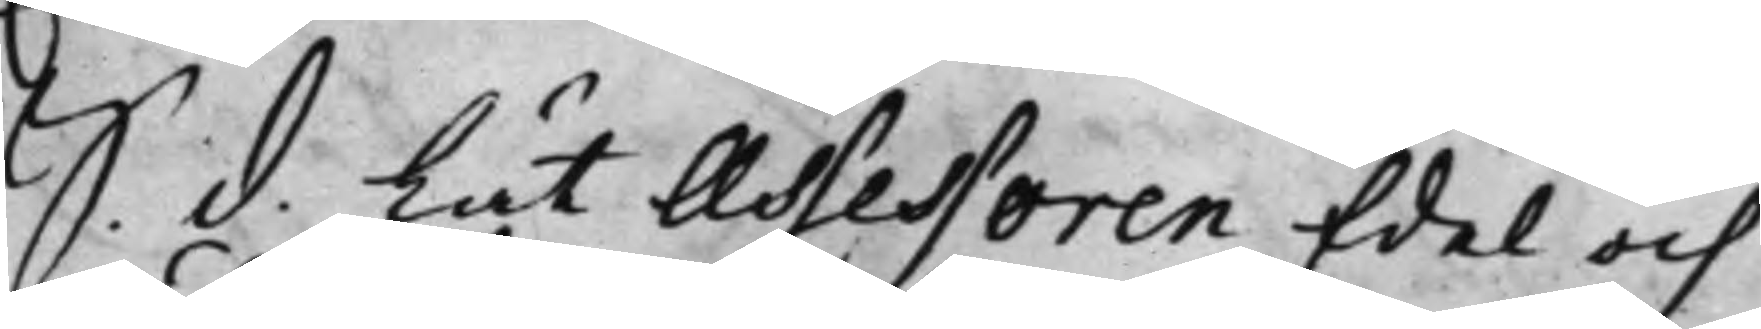S. d. Lät Assessoren Edel och
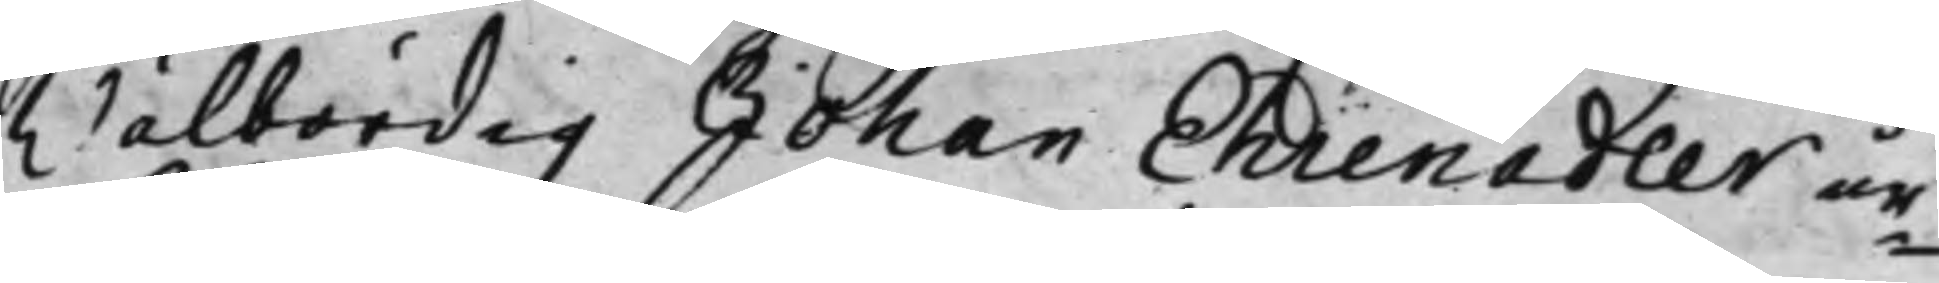Wälbördig Johan Ehrenadler ur¬
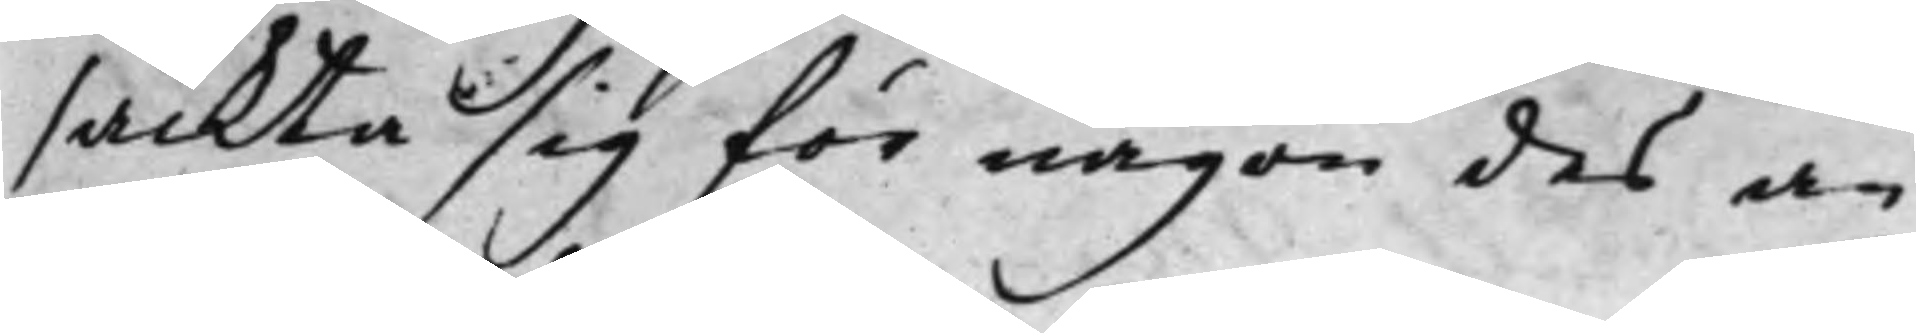säckta sig för någon des an¬
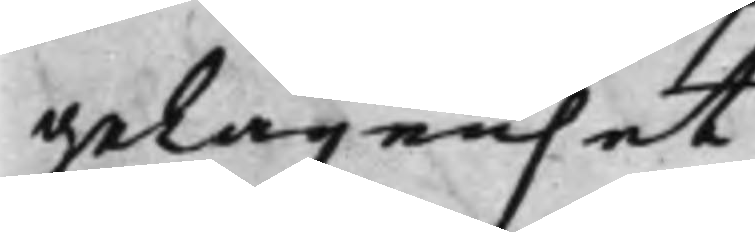gelägenhet.
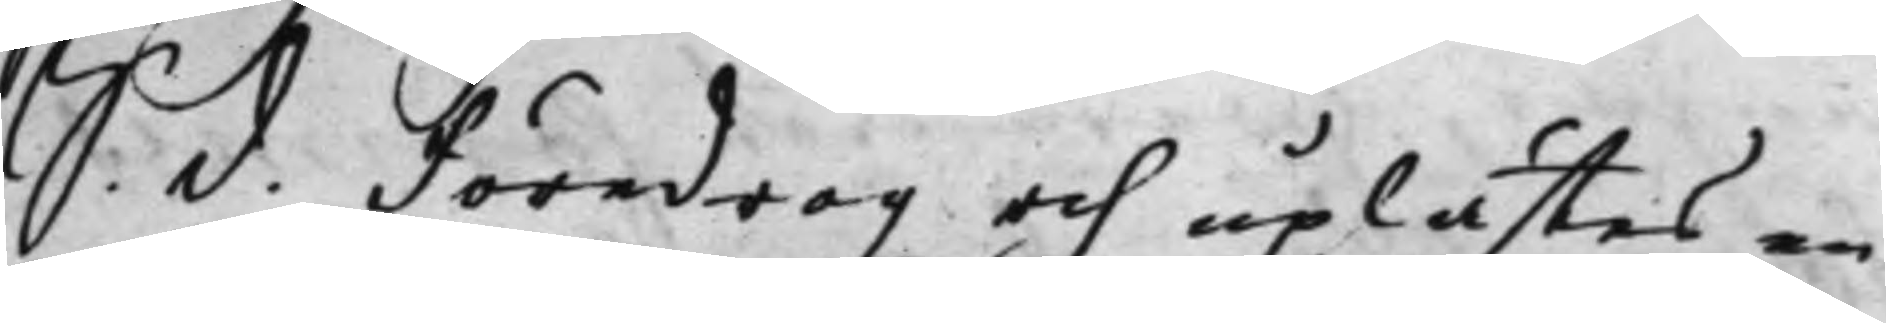S. d. Föredrogz och uplästes en
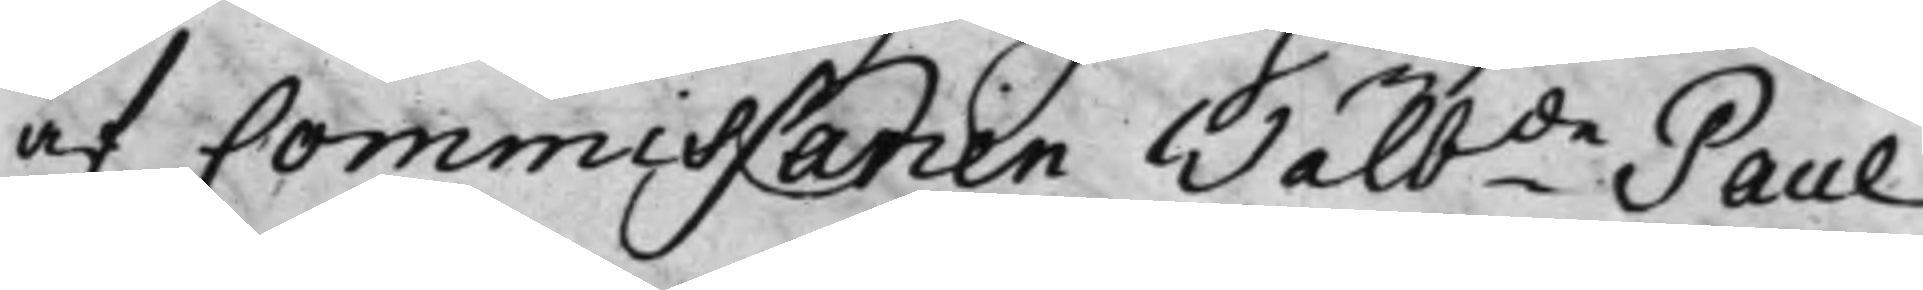af Commissarien Wälb.de Paul
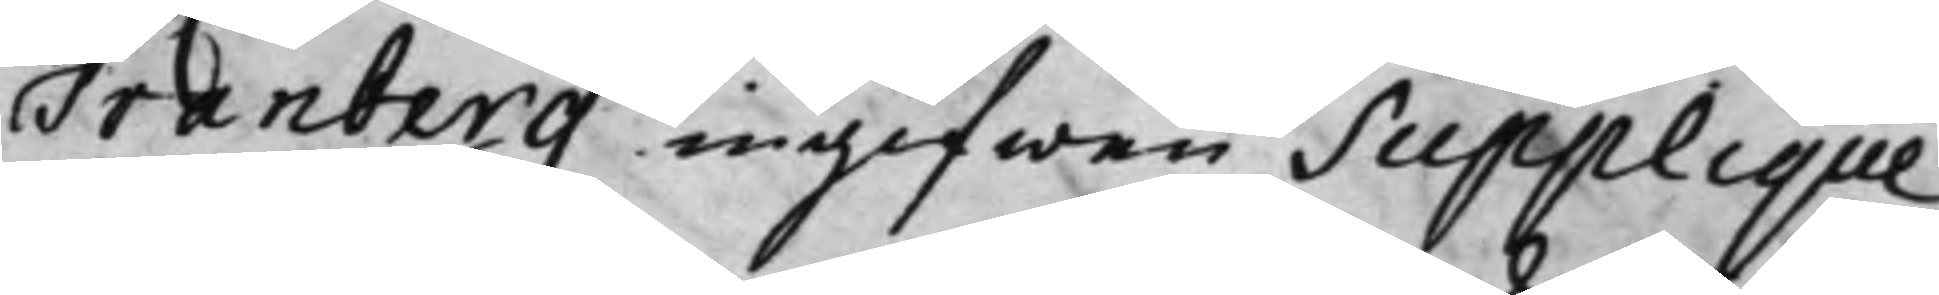Tranberg ingifwen Supplique,
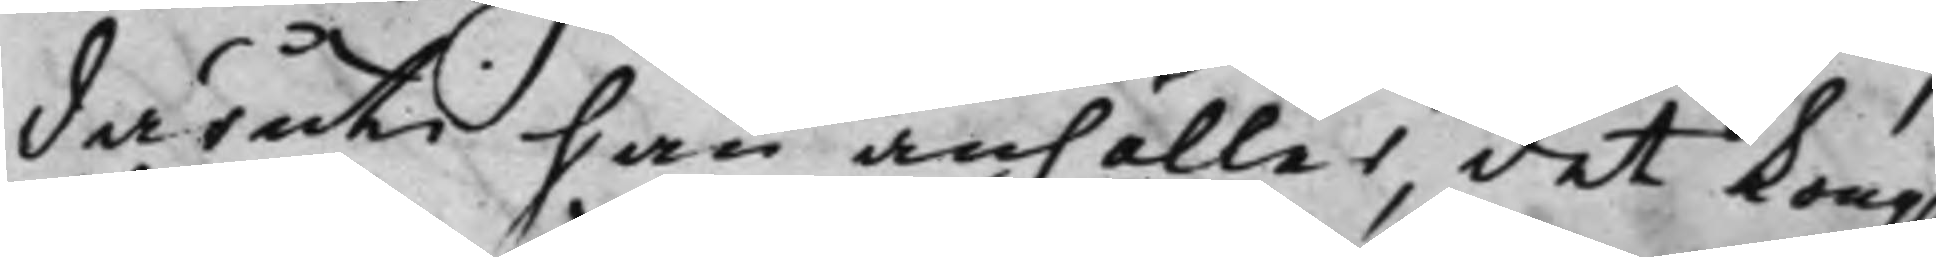däruti han anhåller, det Kong.
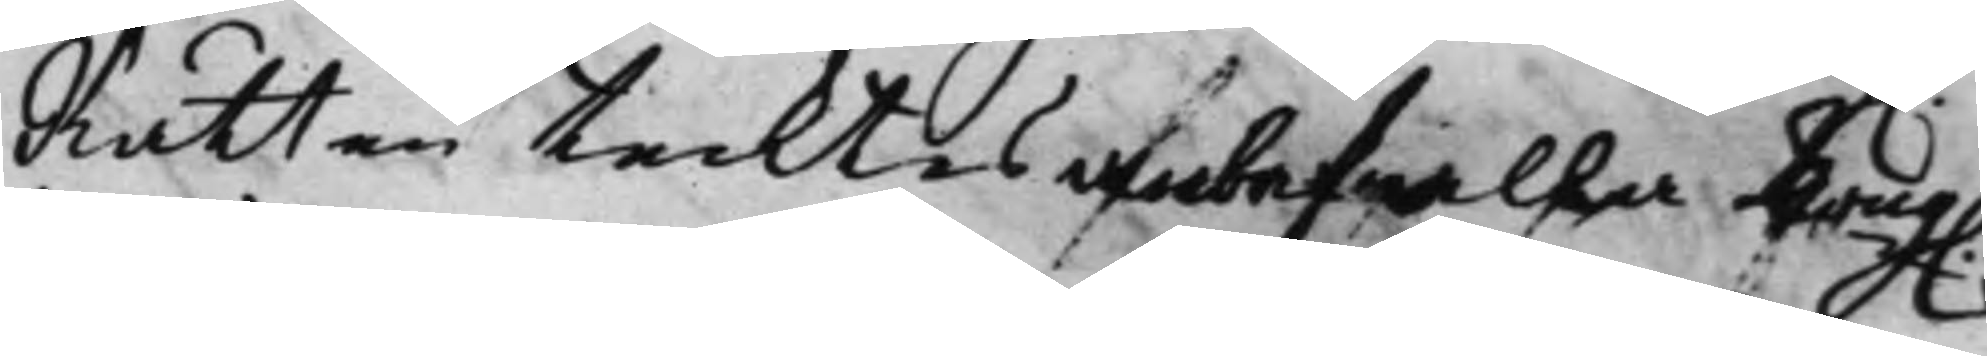Rätten tecktes anbefalla Kong.
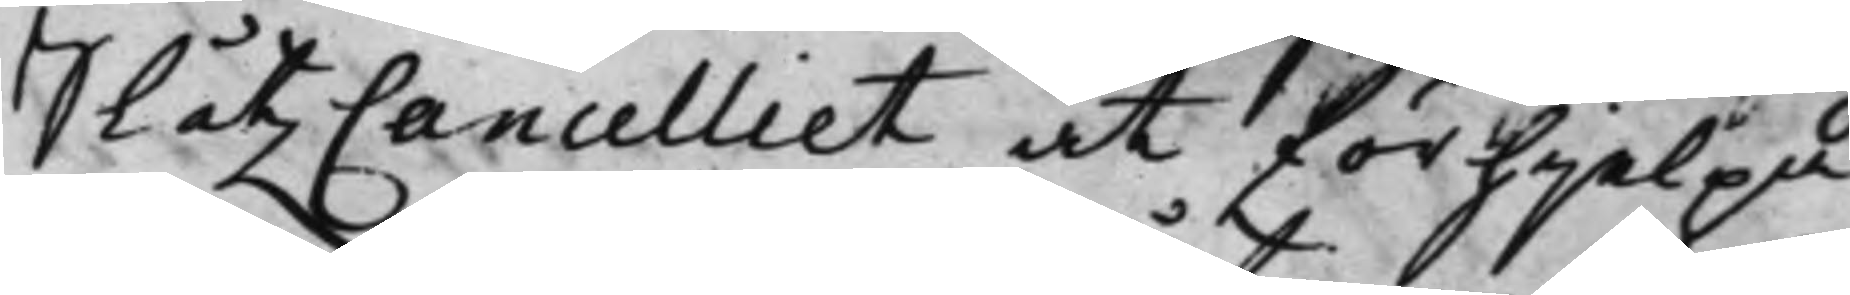SlåtzCancelliet at förhjelpa
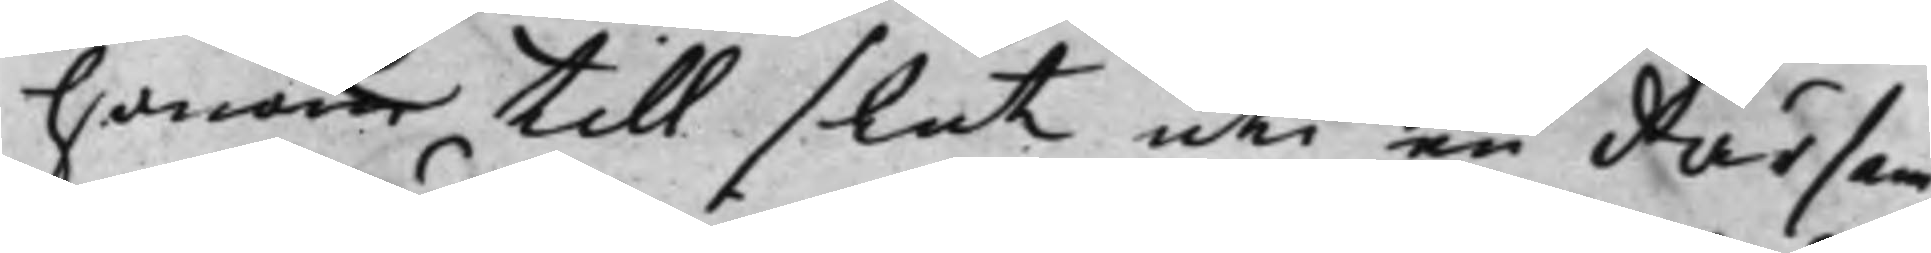honom till slut uti en därsam¬
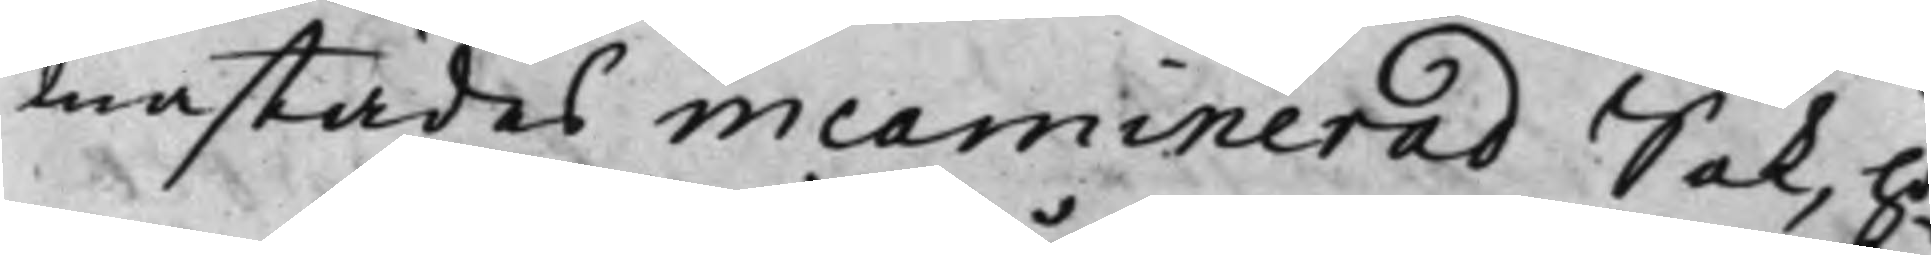mastädes incaminerad Sak, ho¬
